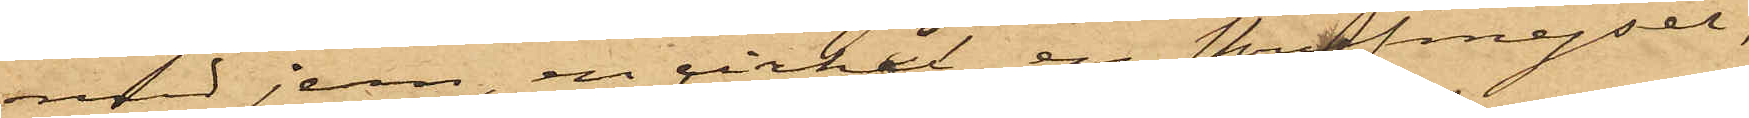med jern, en cirkel, en skrufmejsel,
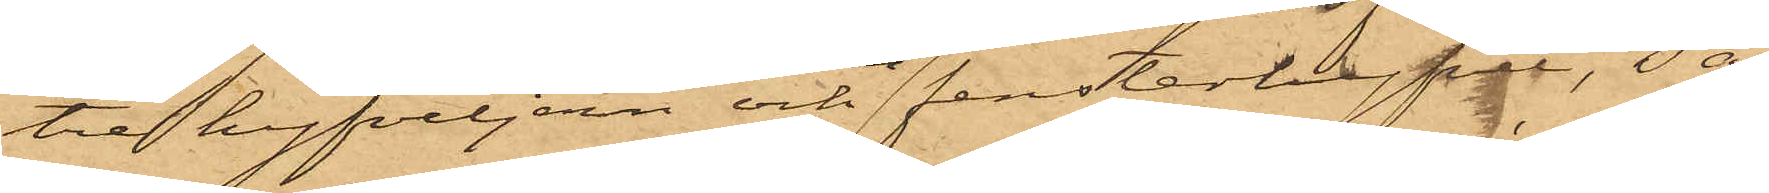tre hyfveljern och en fensterhyfvel, så
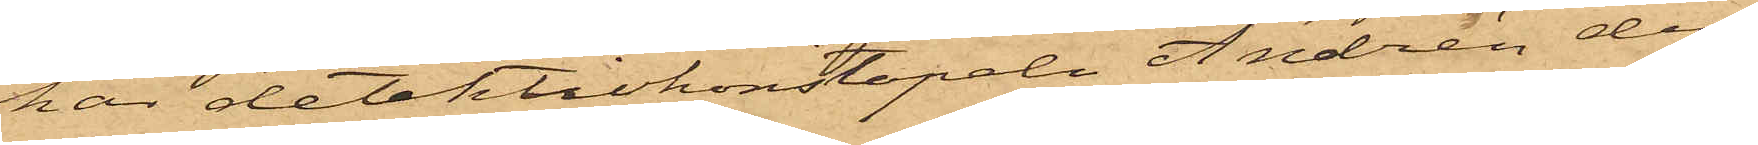har detektivkonstapeln Andrén den
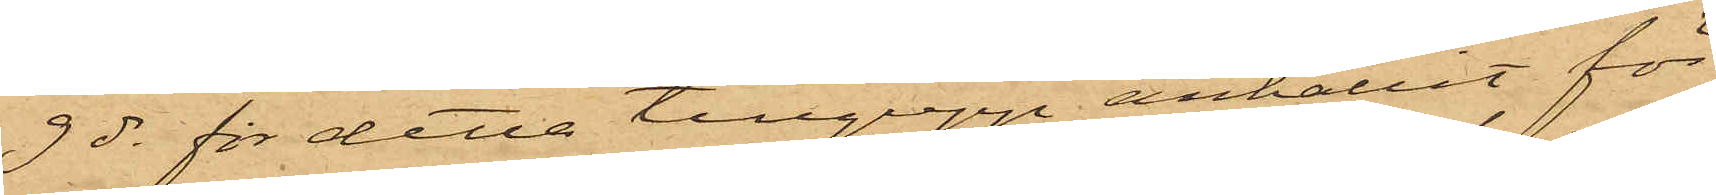9 ds för detta tillgrepp anhållit för
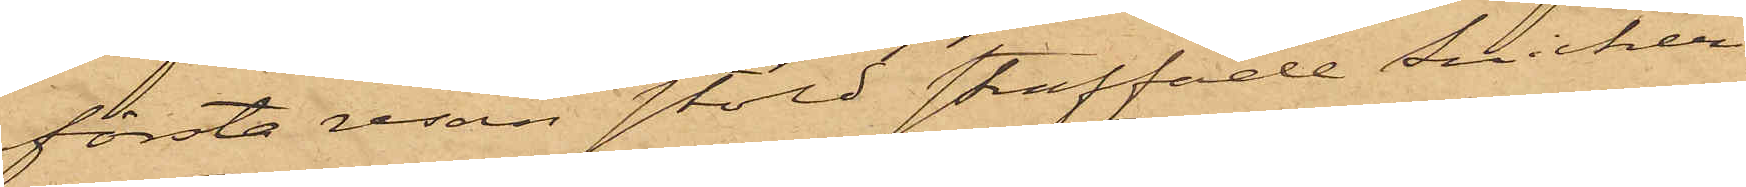första resan stöld straffade Snickeri¬
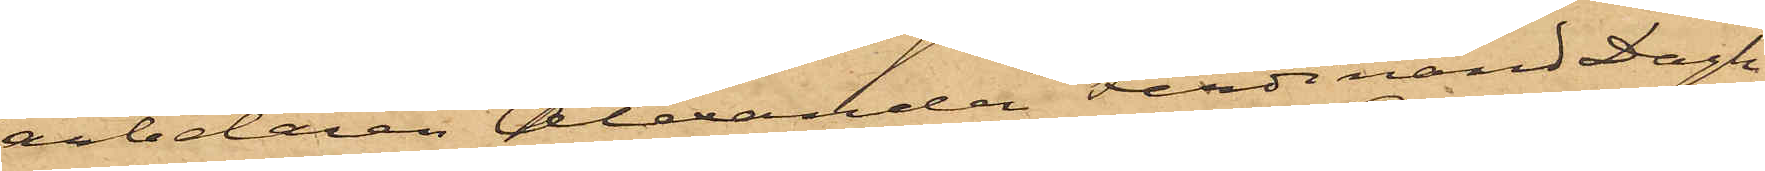arbetaren Alexander Ferdinand Dagh
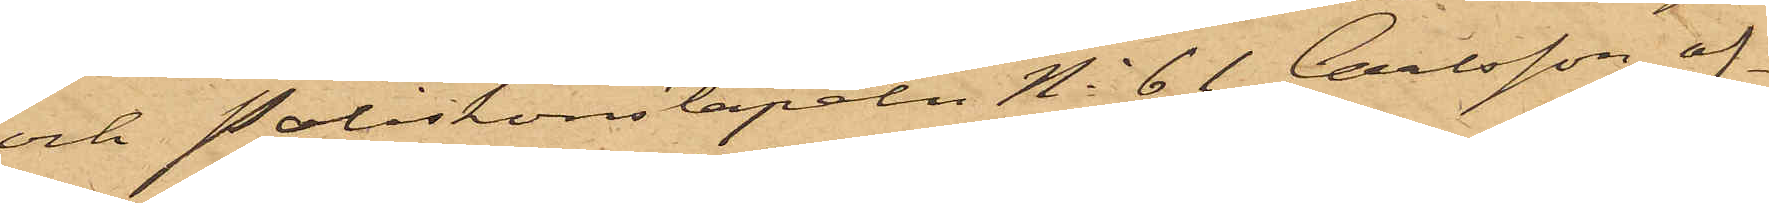och Poliskonstapeln No 61 Carlsson of¬
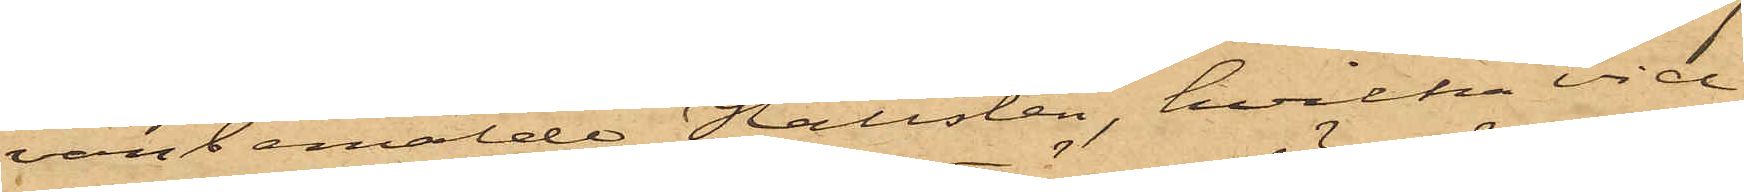vanbemälde Hallsten, hvilka vid
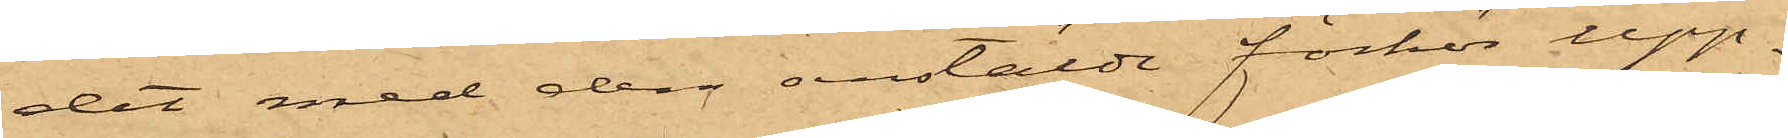det med dem anstälde förhör upp¬
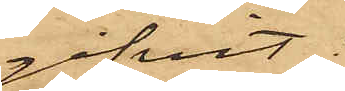gifvit:.
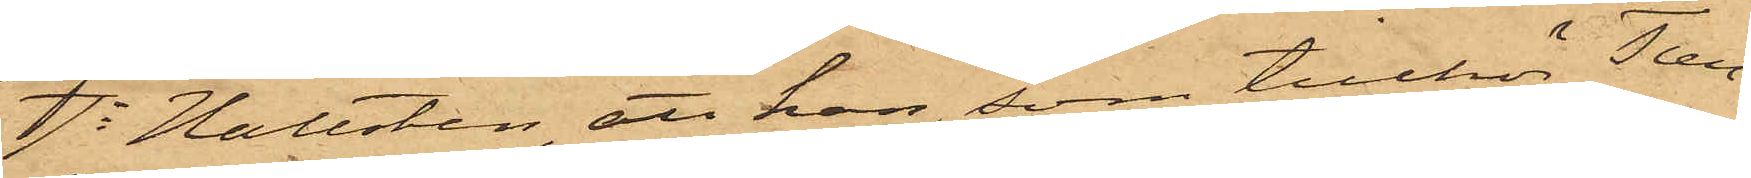1o Hallsten, att han, som tillhör Tun¬
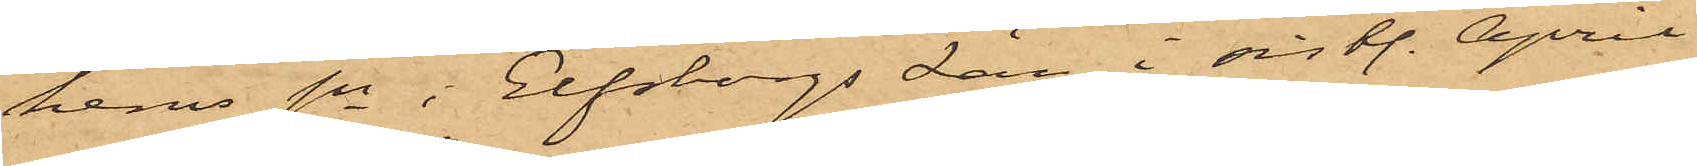hems sn i Elfsborgs län, i sist. April
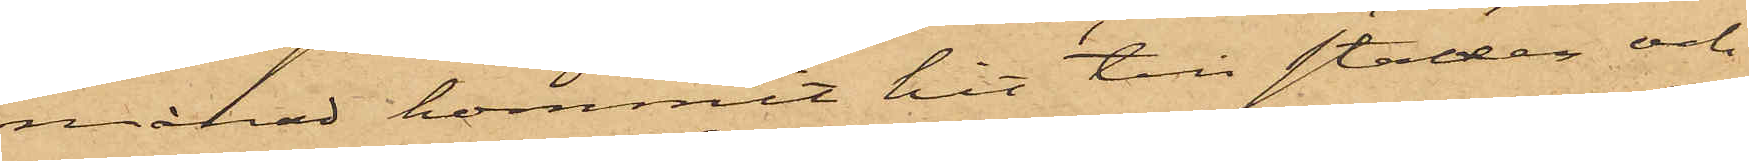månad kommit hit till staden och
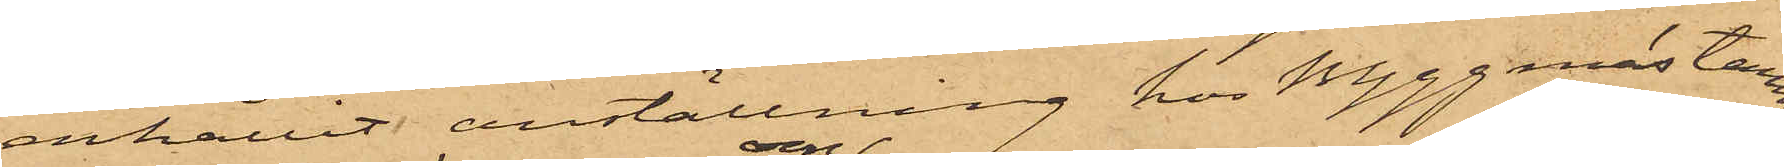erhållit anställning hos Byggmästaren
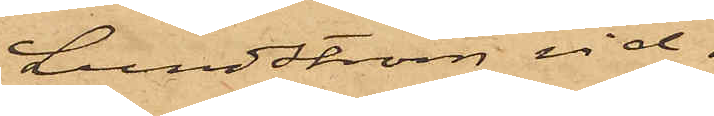Lundström vid
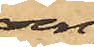om¬
